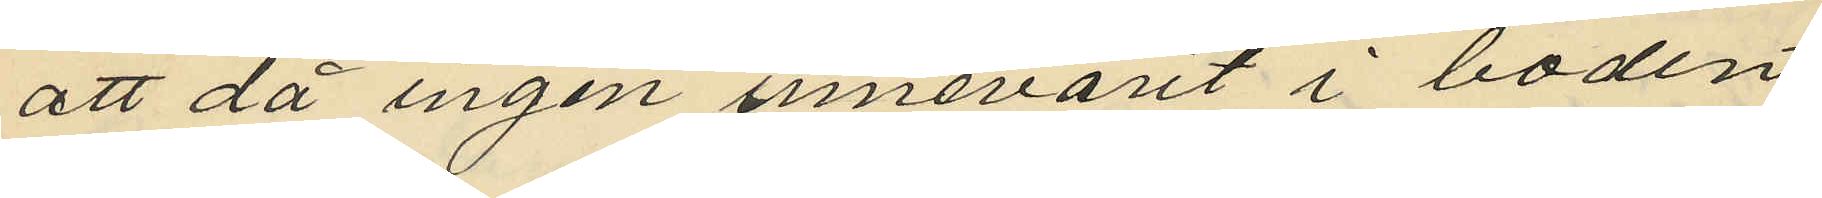att då ingen innevarit i boden
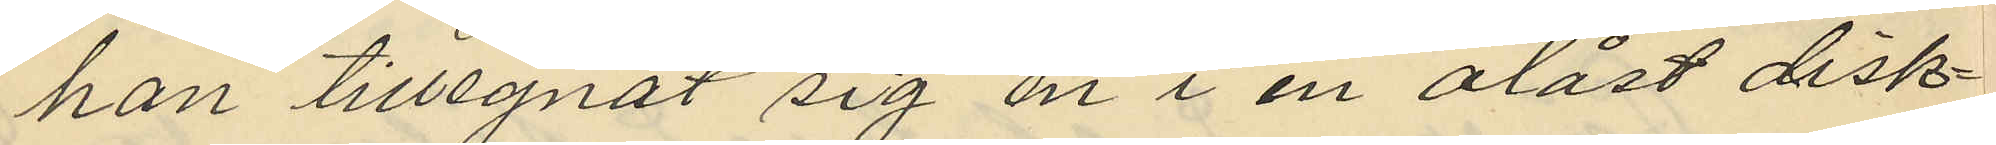han tillegnat sig en i en olåst disk¬
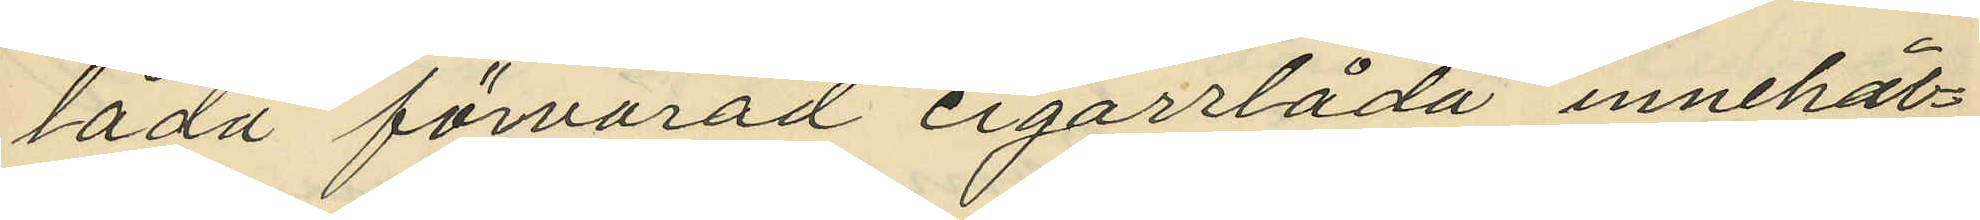låda förvarad cigarrlåda innehål¬
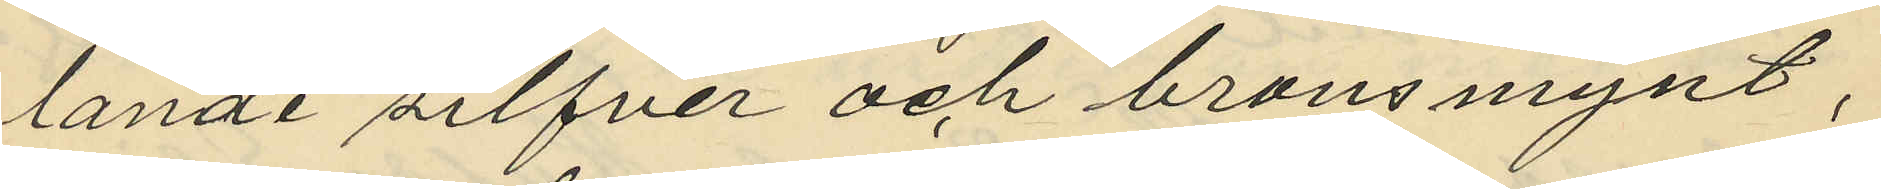lande silfver och bronsmynt;
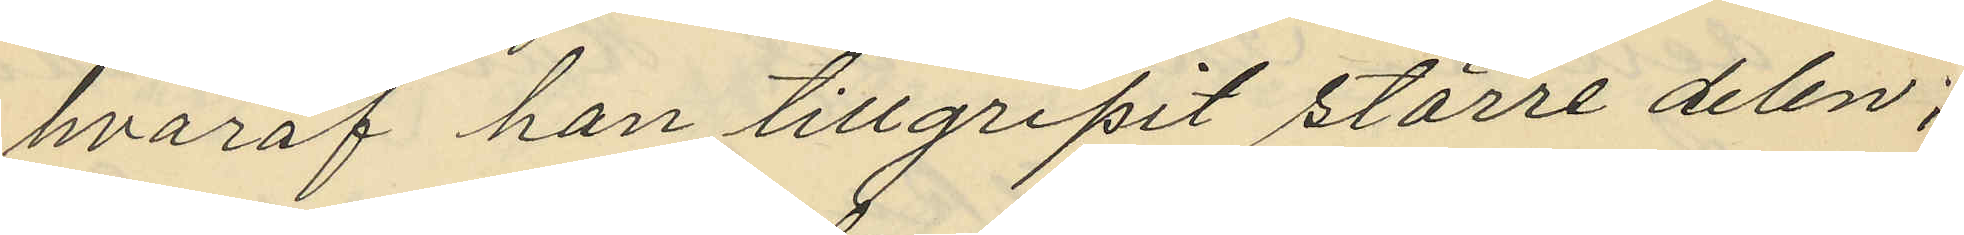hvaraf han tillgripit större delen;
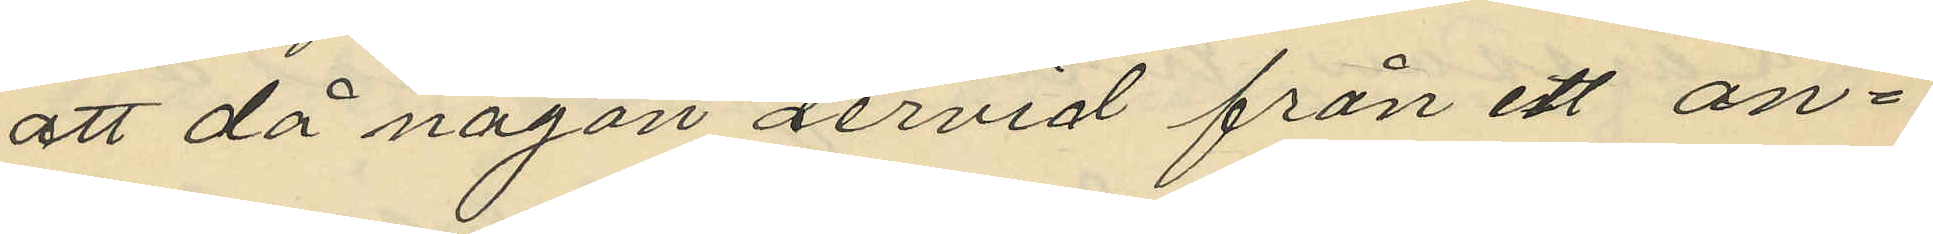att då någon dervid från ett an¬
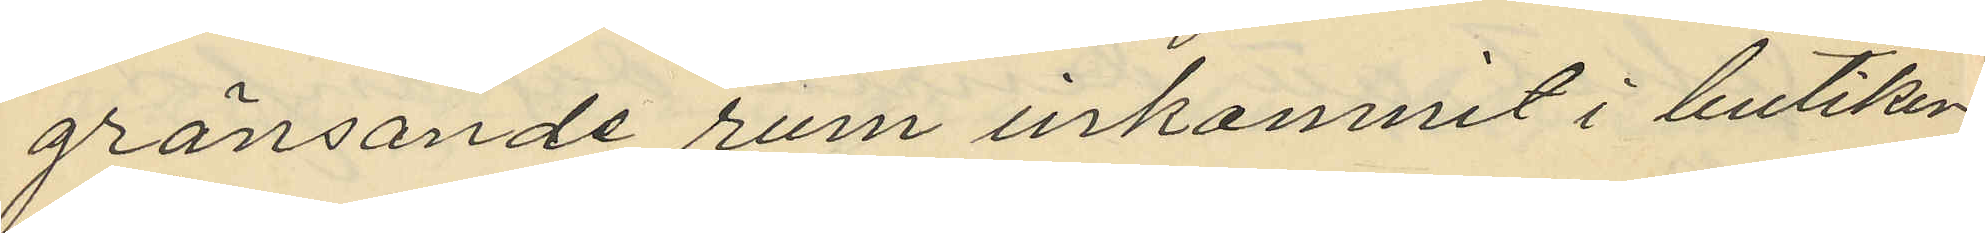gränsande rum inkomnit i butiken
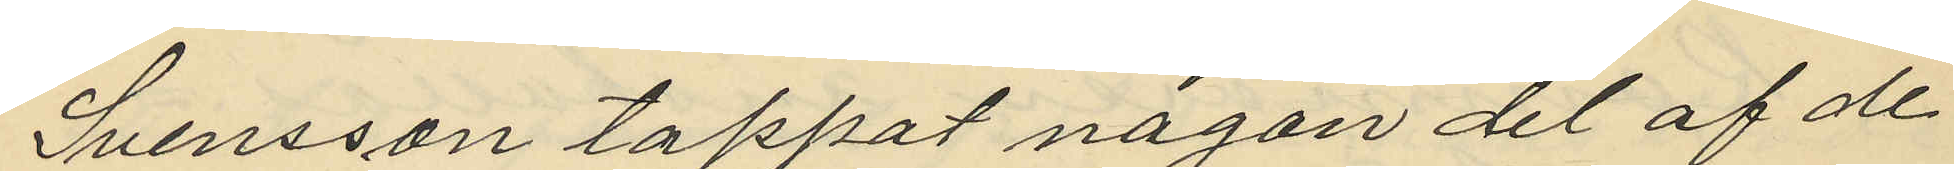Svensson tappat någon del af de
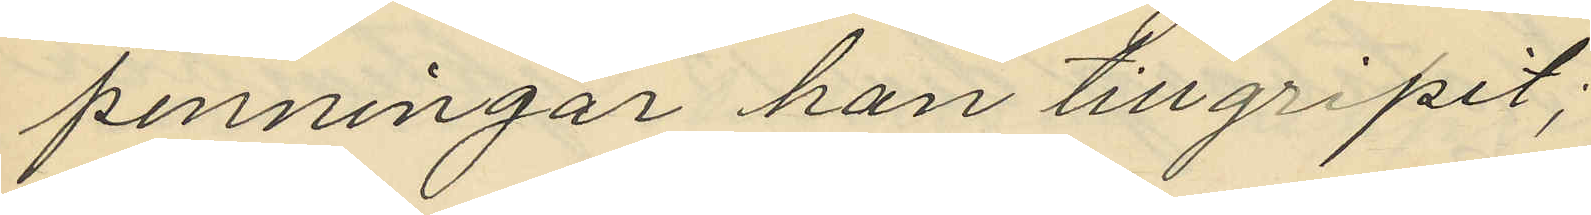penningar han tillgripit;
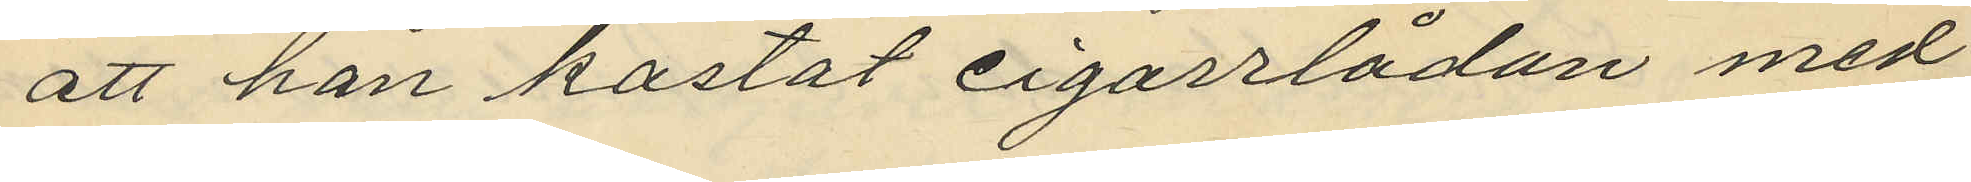att han kastat cigarrlådan med
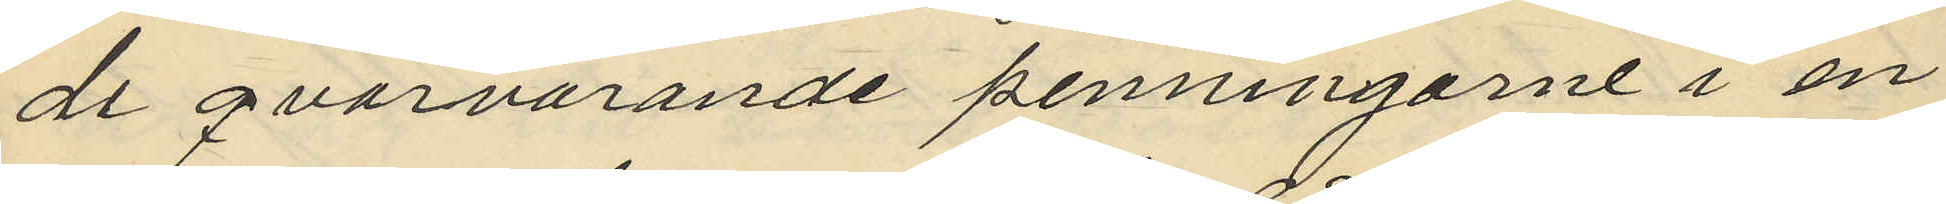de qvarvarande penningarne i en
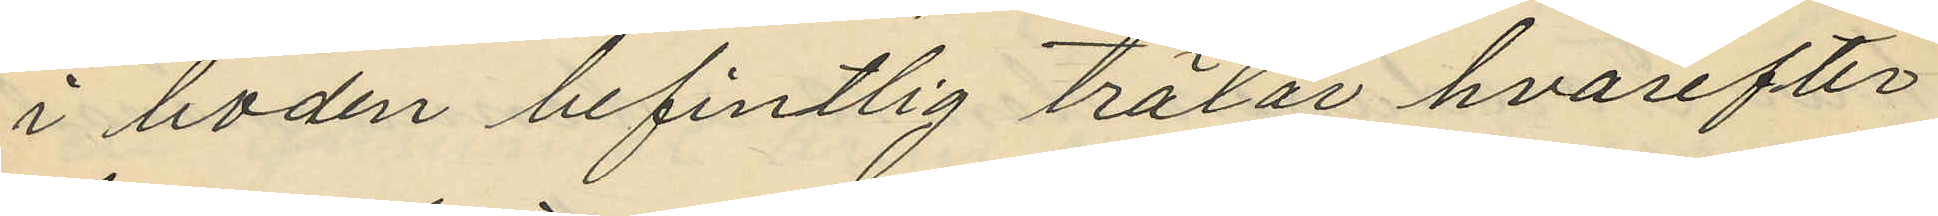i boden befintlig trälar hvarefter
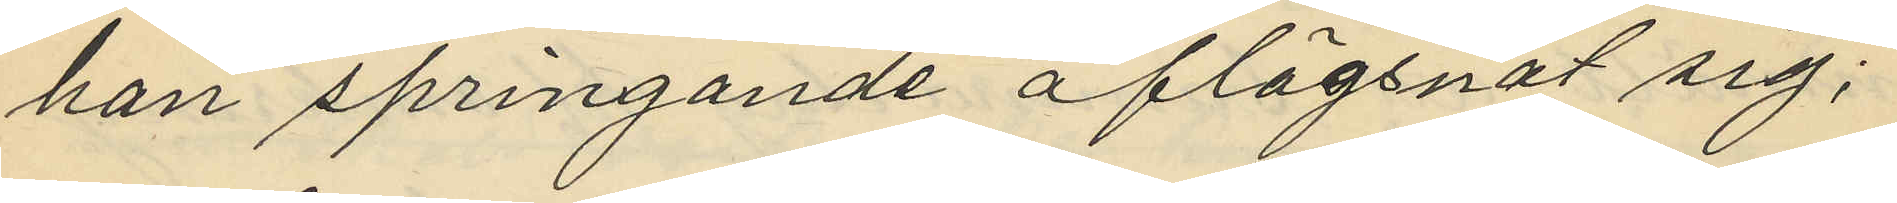han springande aflägsnat sig;
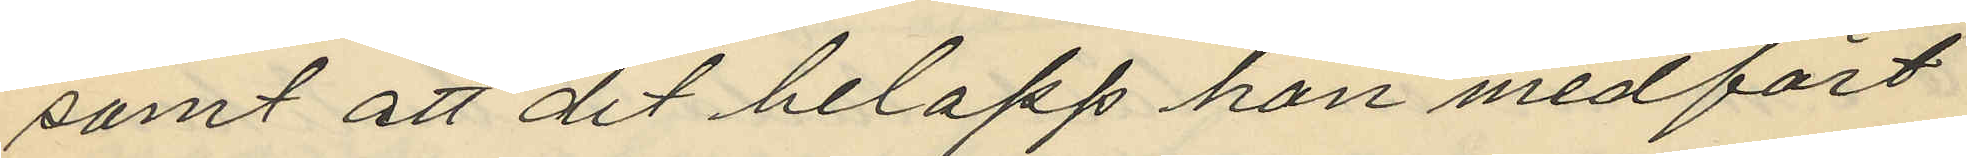samt att det belopp han medfört
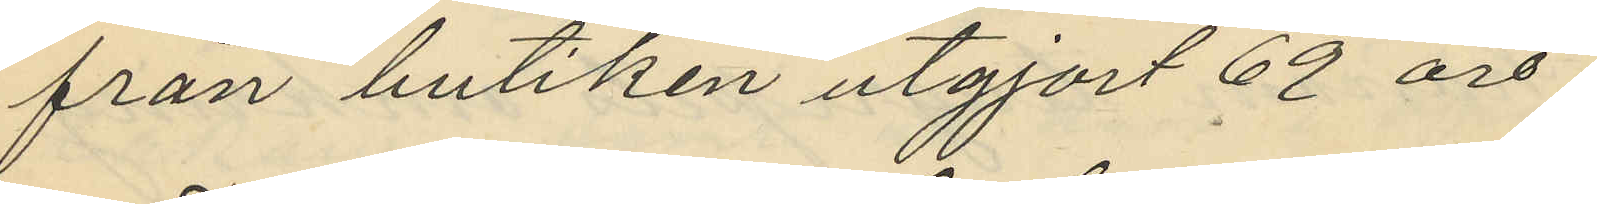från butiken utgjort 62 öre.
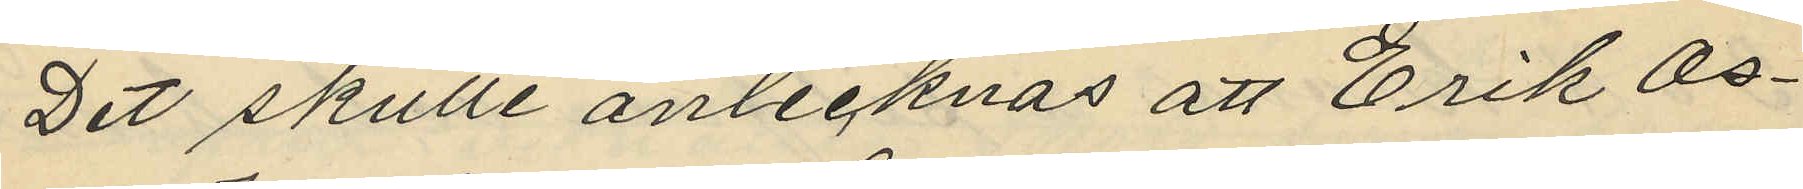Det skulle antecknas att Erik Os¬
